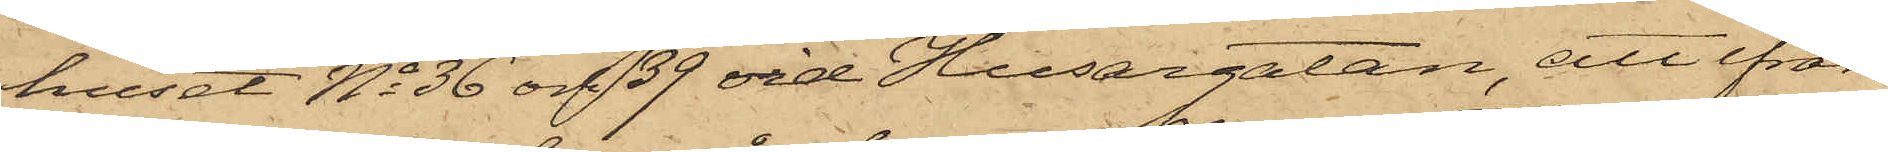huset No 36 och 39 vid Husargatan, att ifrån
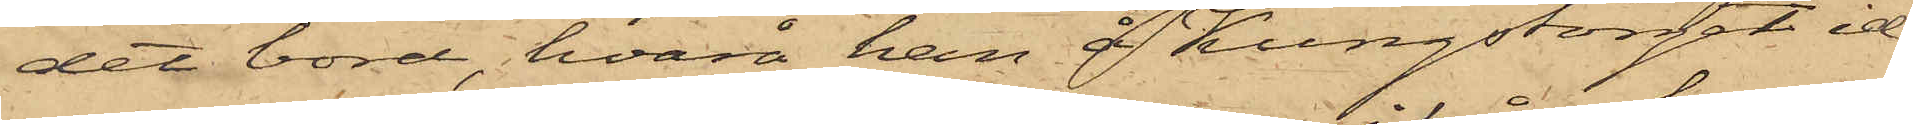det bord, hvarå han å Kungstorget id¬
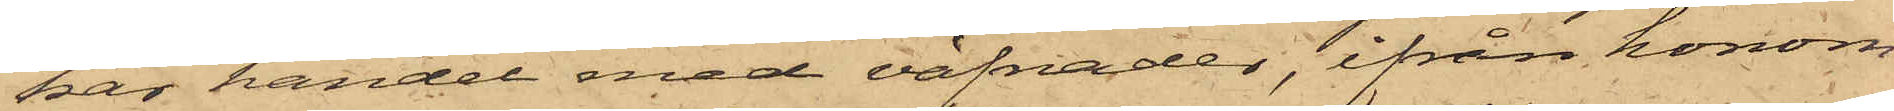kar handel med väfnader, ifrån honom
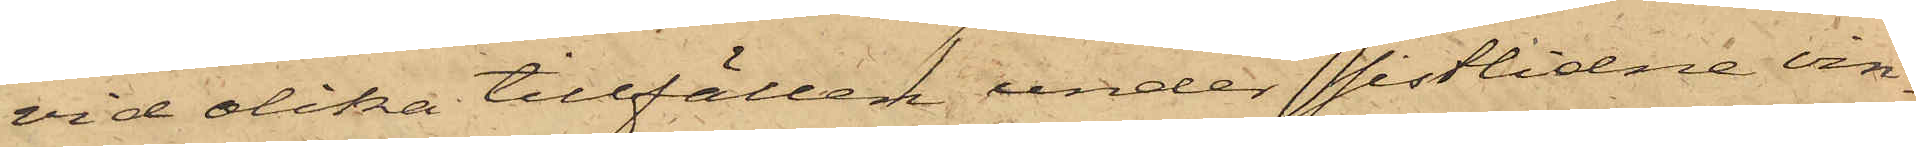vid olika tillfällen under sistlidne vin¬
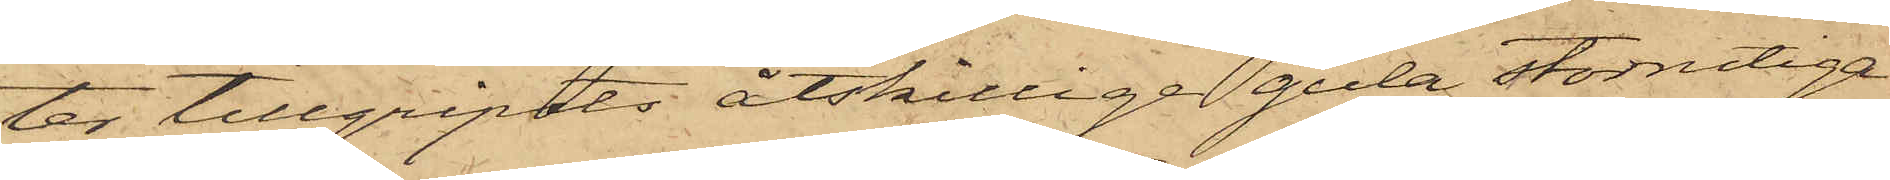ter tillgripits åtskillige gula storrutiga
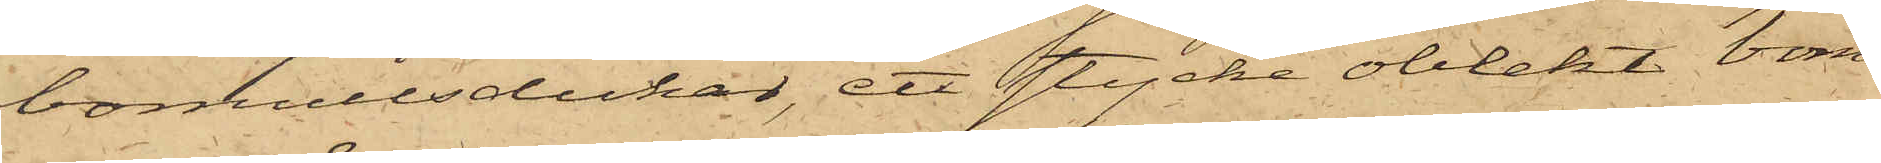bomullsdukar, ett stycke oblekt bom¬
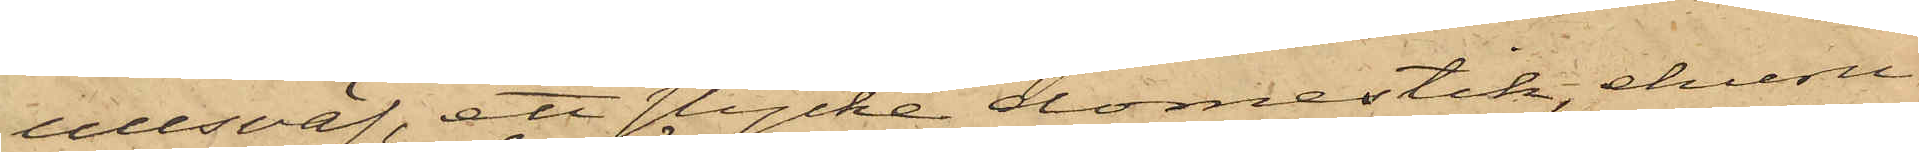ullsväf, ett stycke domestik, ehuru
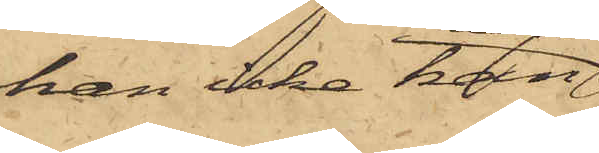han icke kan
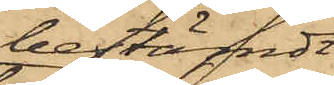bestämdt
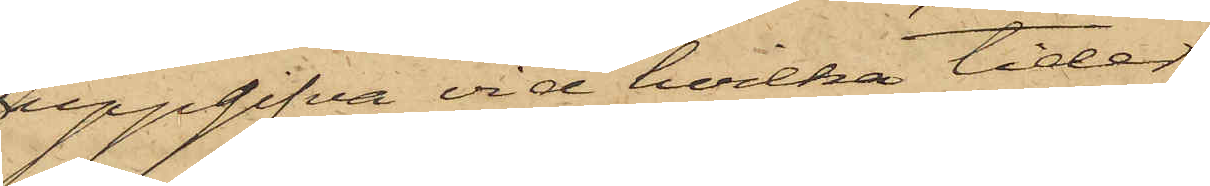uppgifva vid hvilka tider
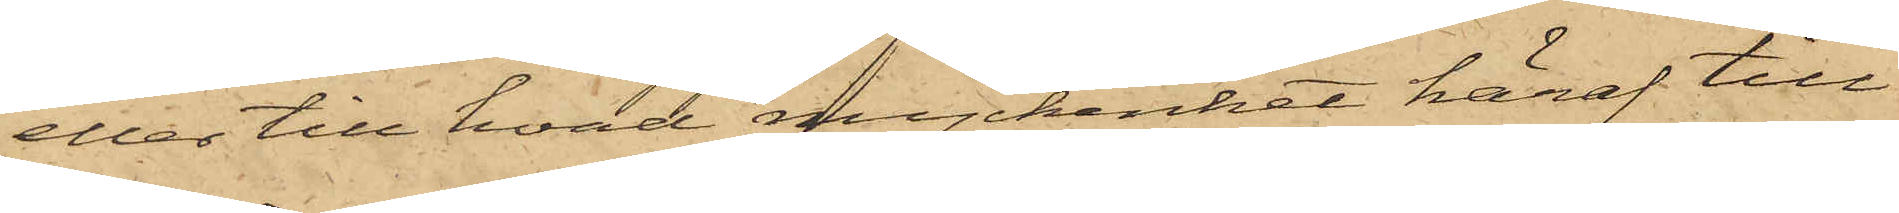eller till hvad myckenhet häraf till¬
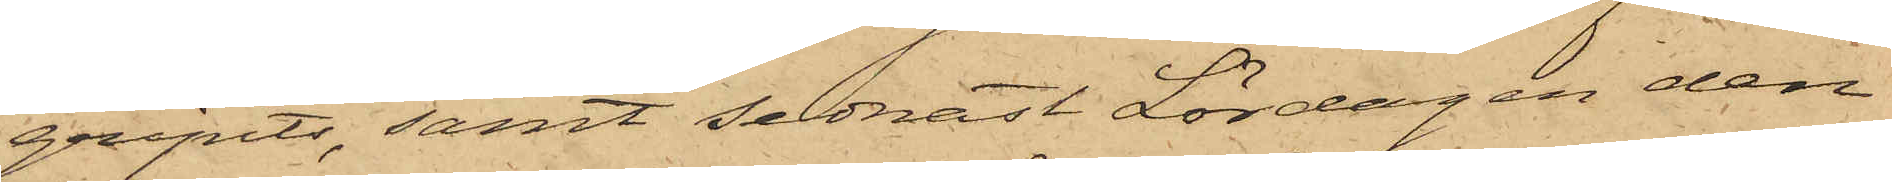gripits, samt sednast Lördagen den
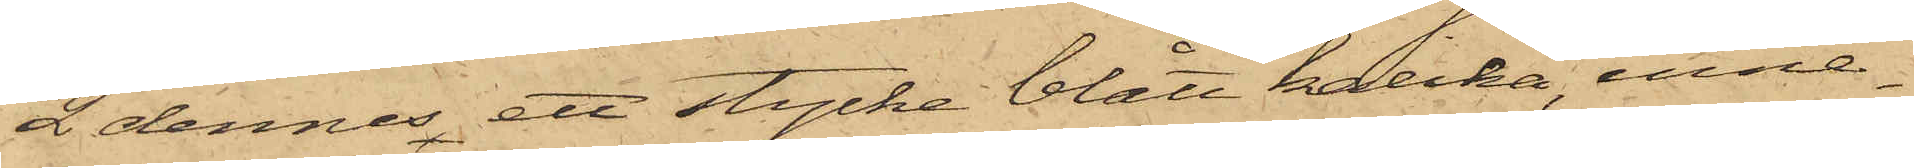2 dennes ett stycke blått kalikå, inne¬
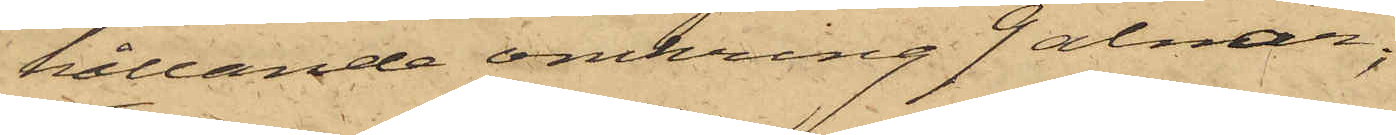hållande omkring 9 alnar;
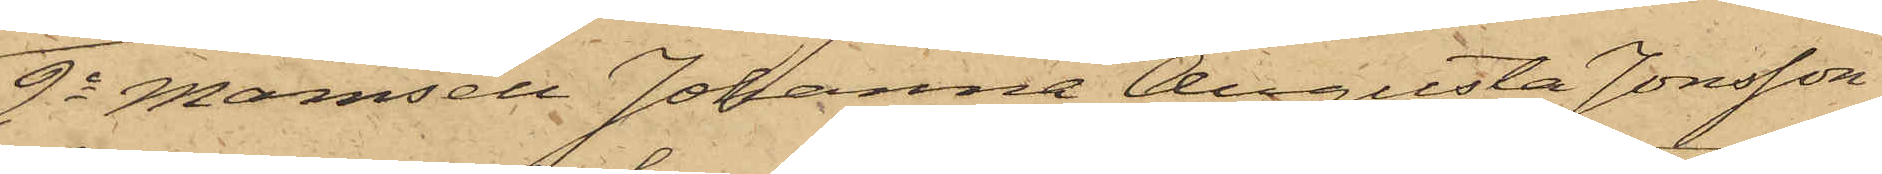2o Mamsell Johanna Augusta Jonsson,
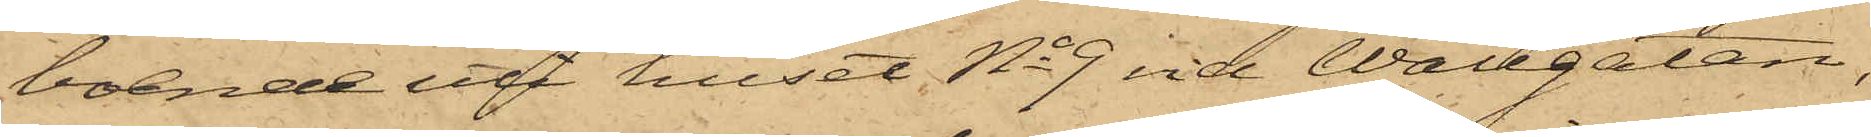boende uti huset No 9 vid Wallgatan,
